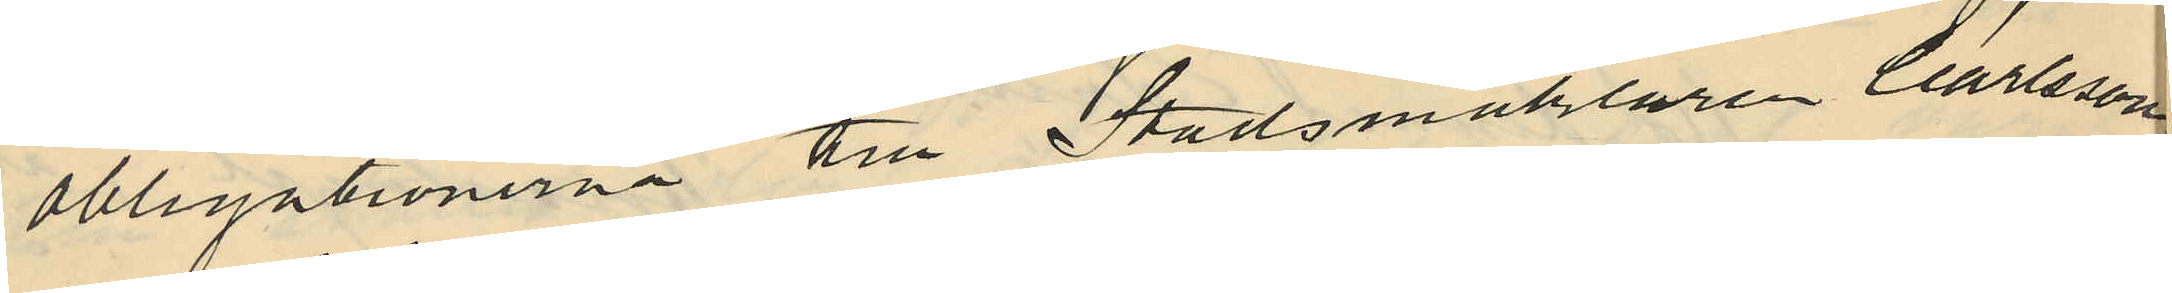obligationerna till Stadsmäklaren Carlsson
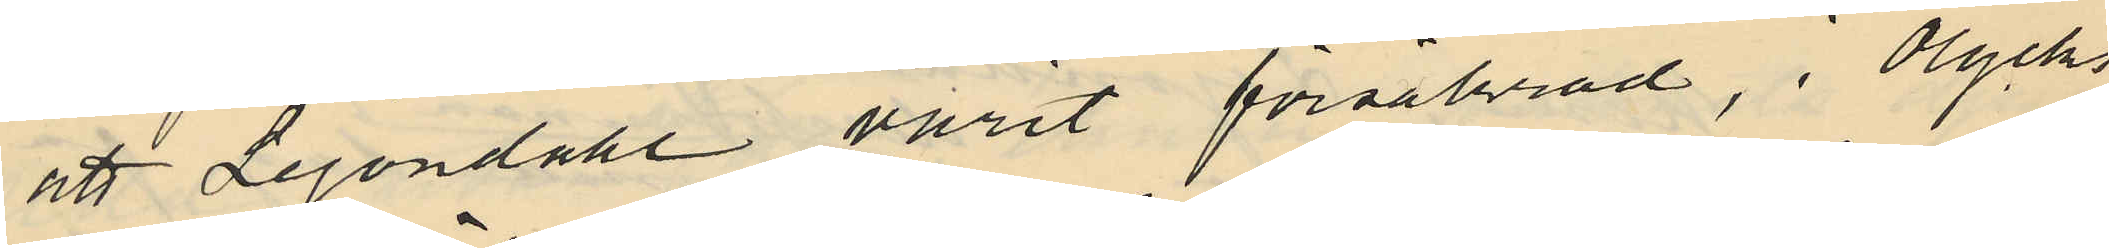att Lejondahl varit försäkrad, i Olycks
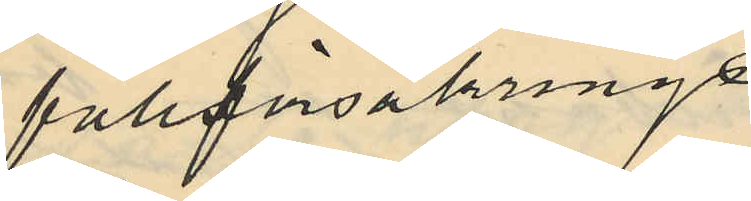fallförsäkrings
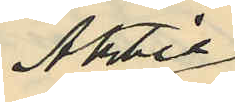Aktie¬
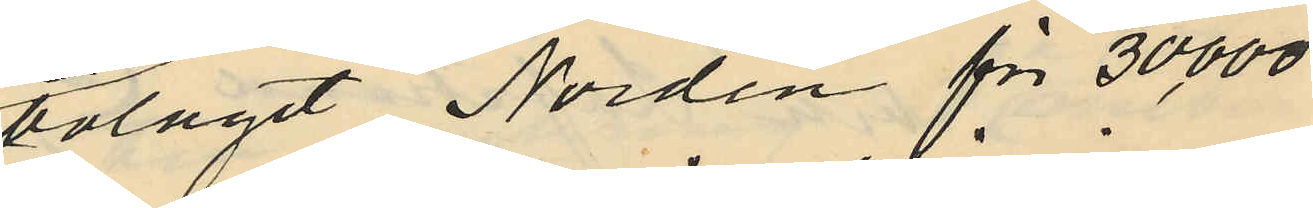bolaget Norden för 30,000
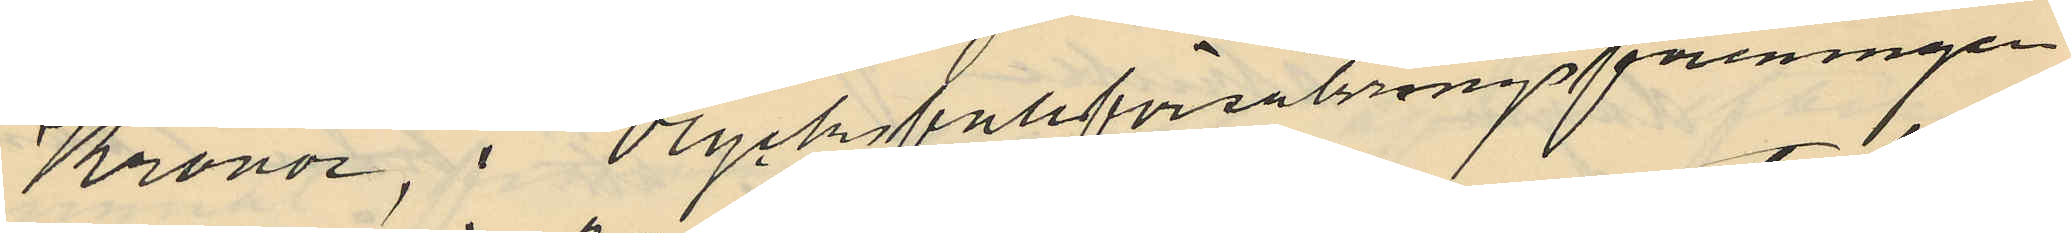Kronor, i Olycksfallsförsäkringsföreningen
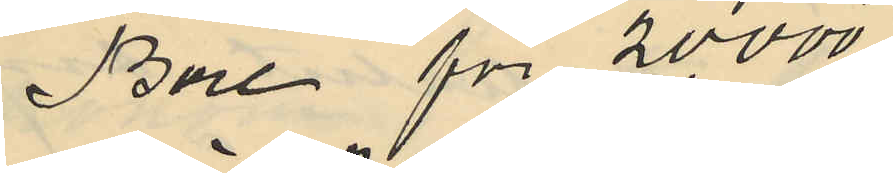Bore för 20,000
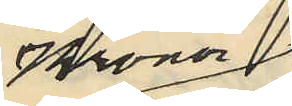Kronor
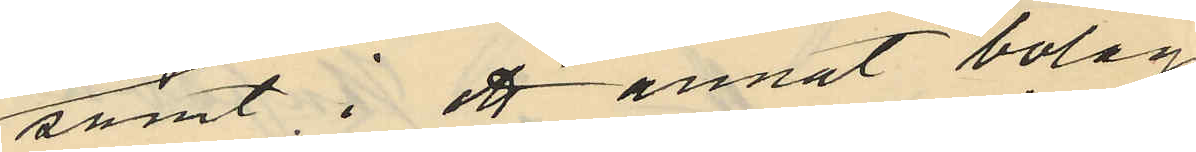samt i ett annat bolag
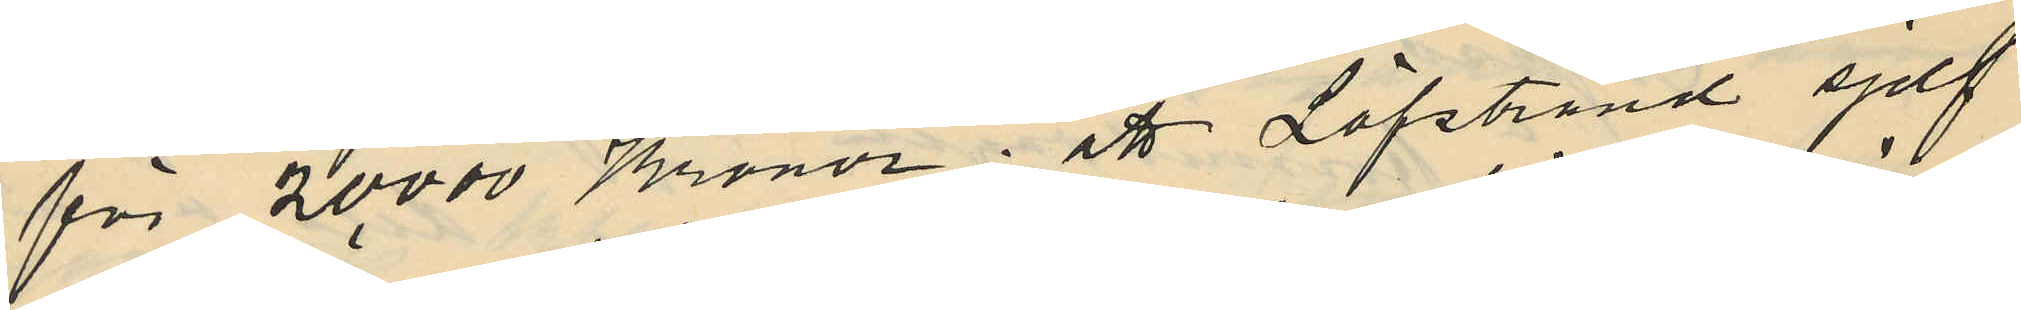för 20,000 Kronor; att Löfstrand sjelf
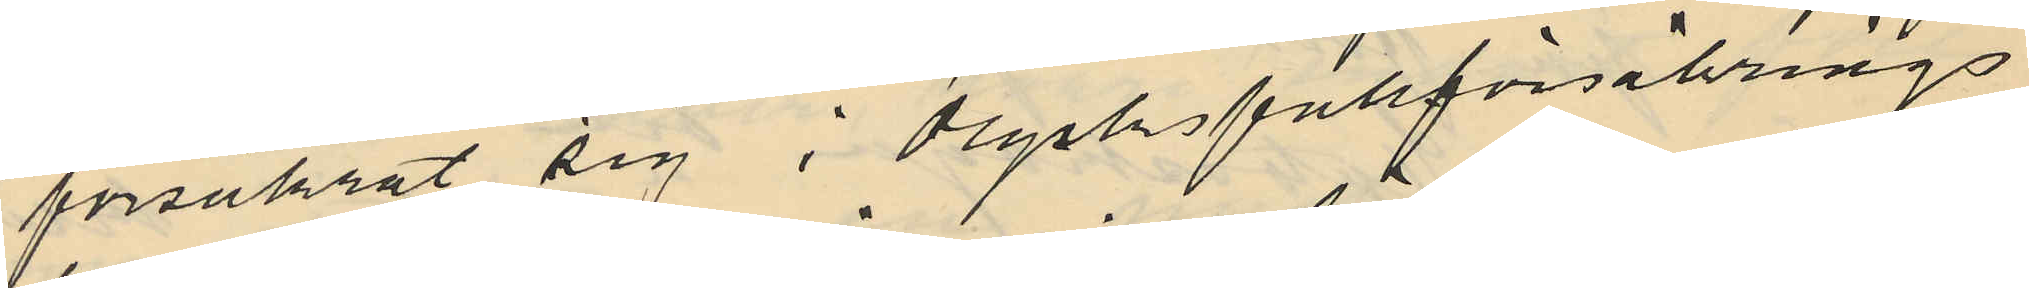försäkrat sig i Olycksfallförsäkrings
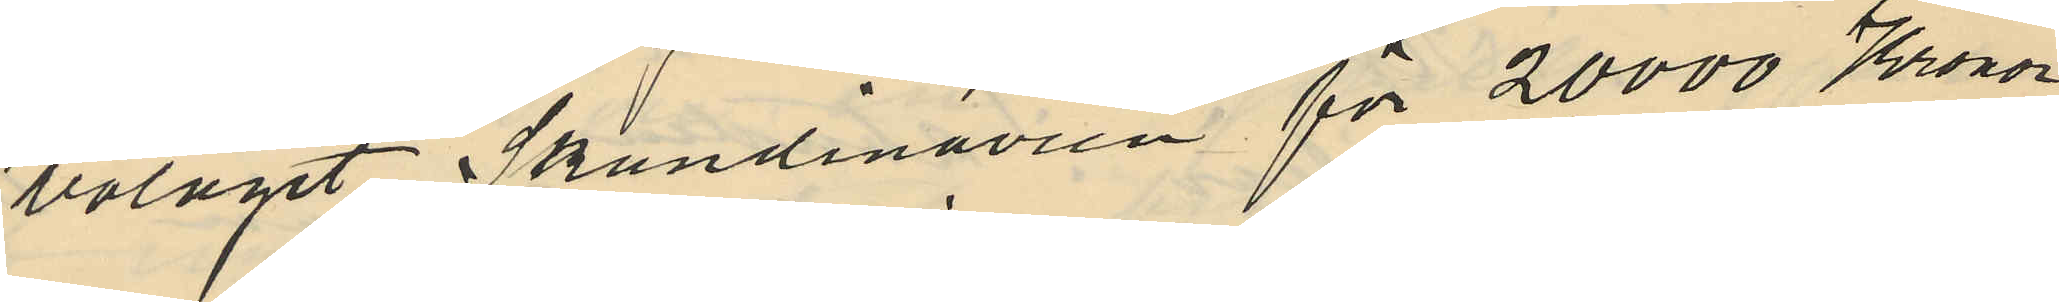bolaget Skandinavien för 20,000 Kronor
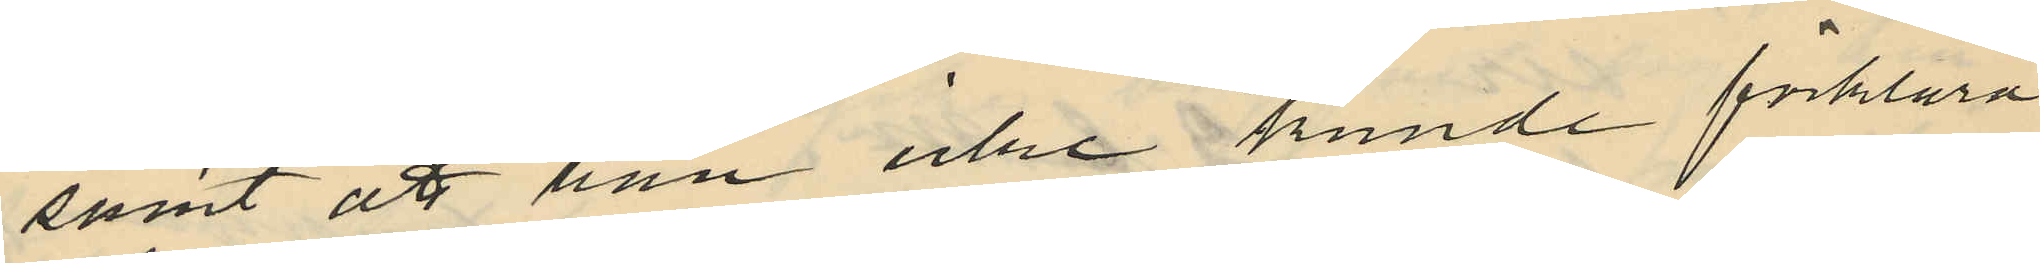samt att han icke kunde förklara
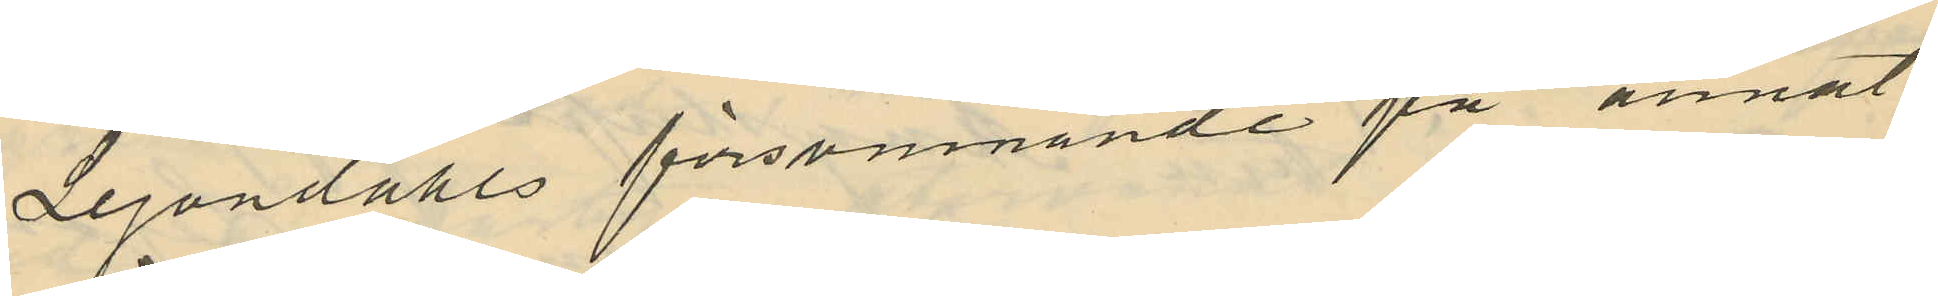Lejondahls försvinnande på annat
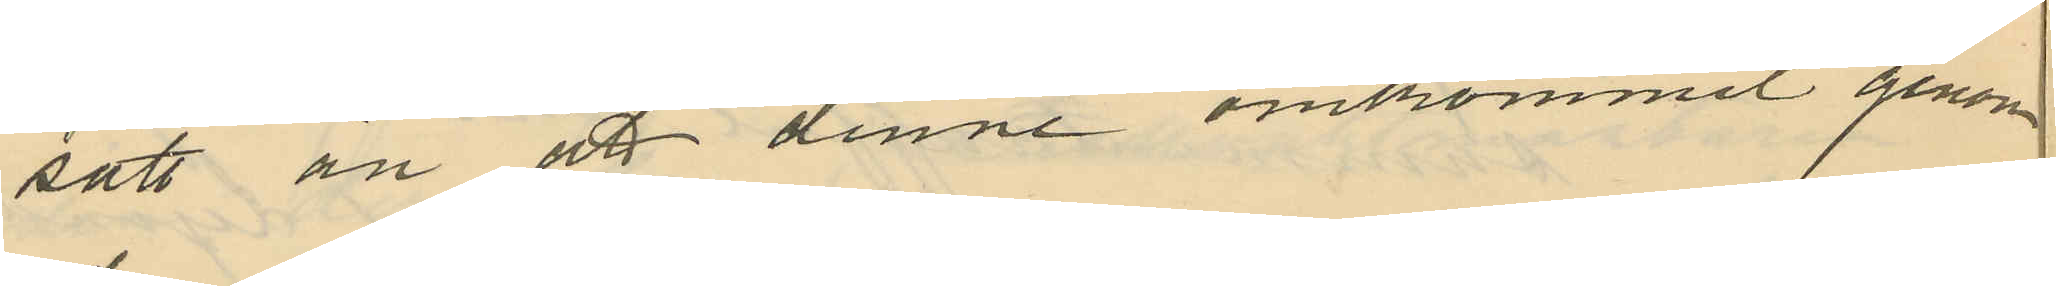sätt än att denne omkommit genom
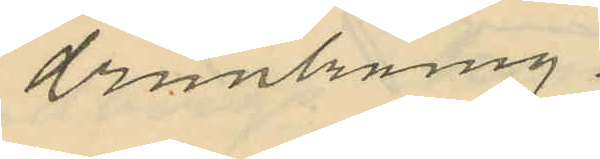drunkning.
